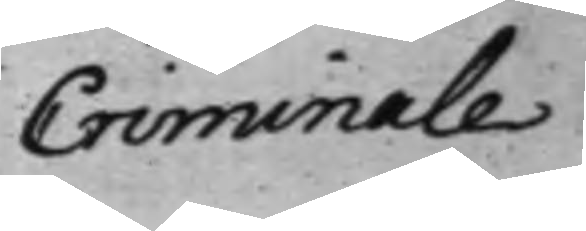Criminale
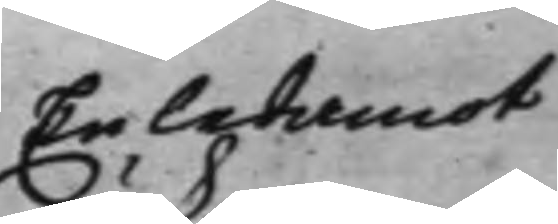En ledamot
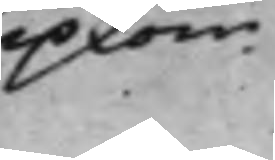upkom.
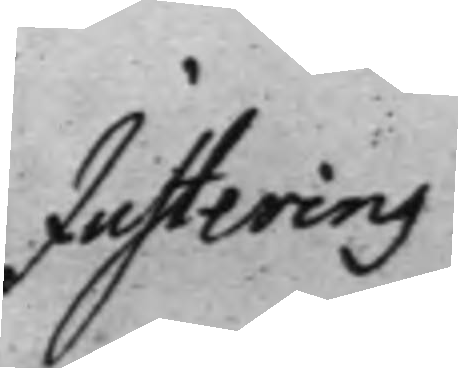Justering
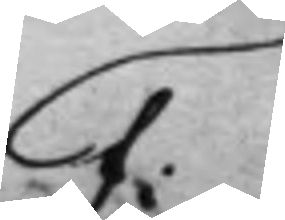F:
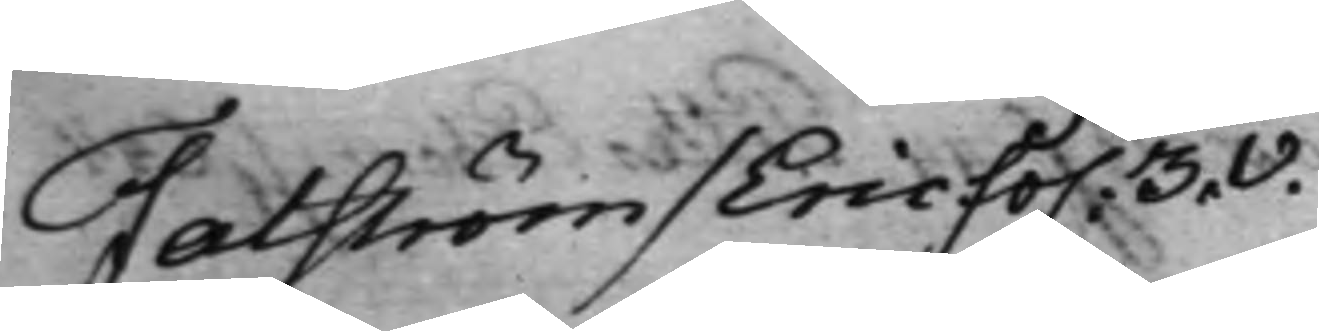Falström / Eric fo. 3.v.
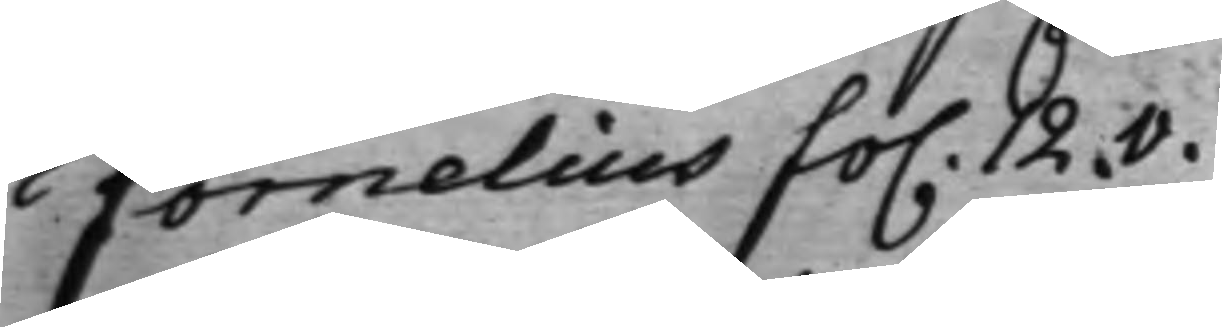Fornelius fo. 12.v.
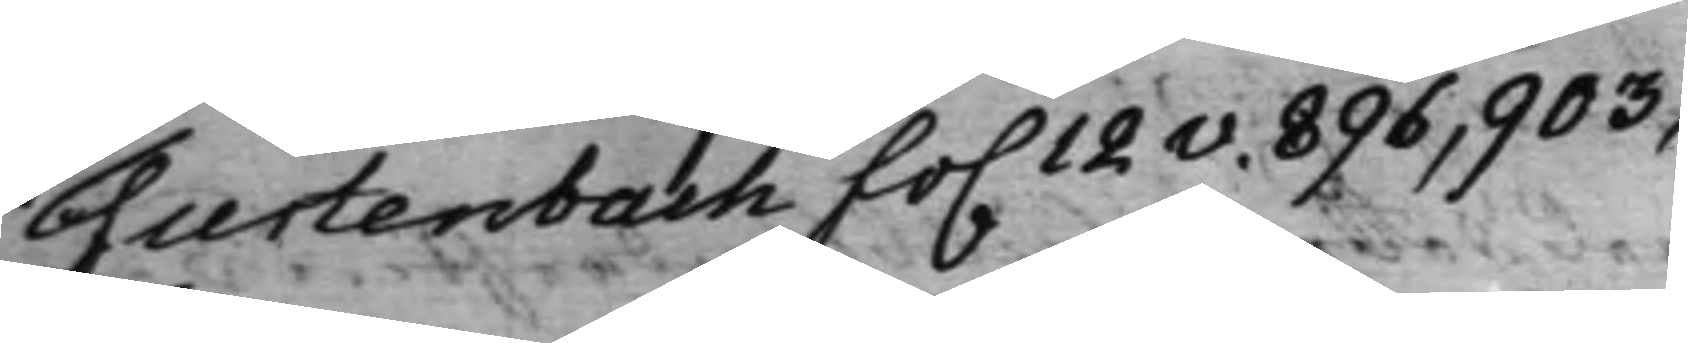Furtenbach fo. 12v. 896, 903,
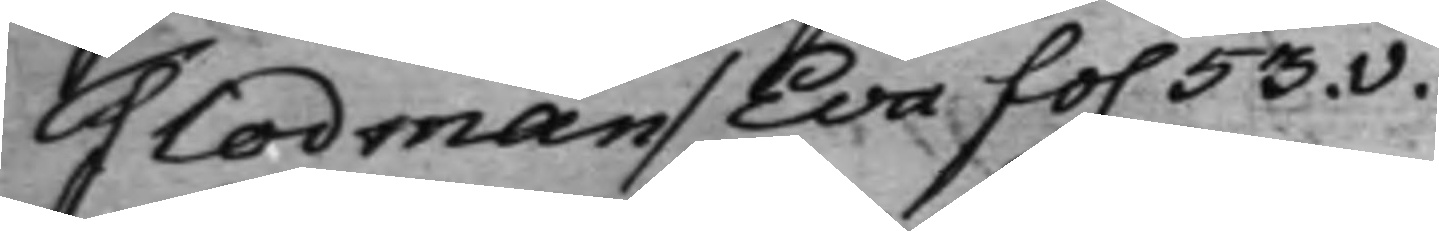Flodman / Eva fo. 53.v.
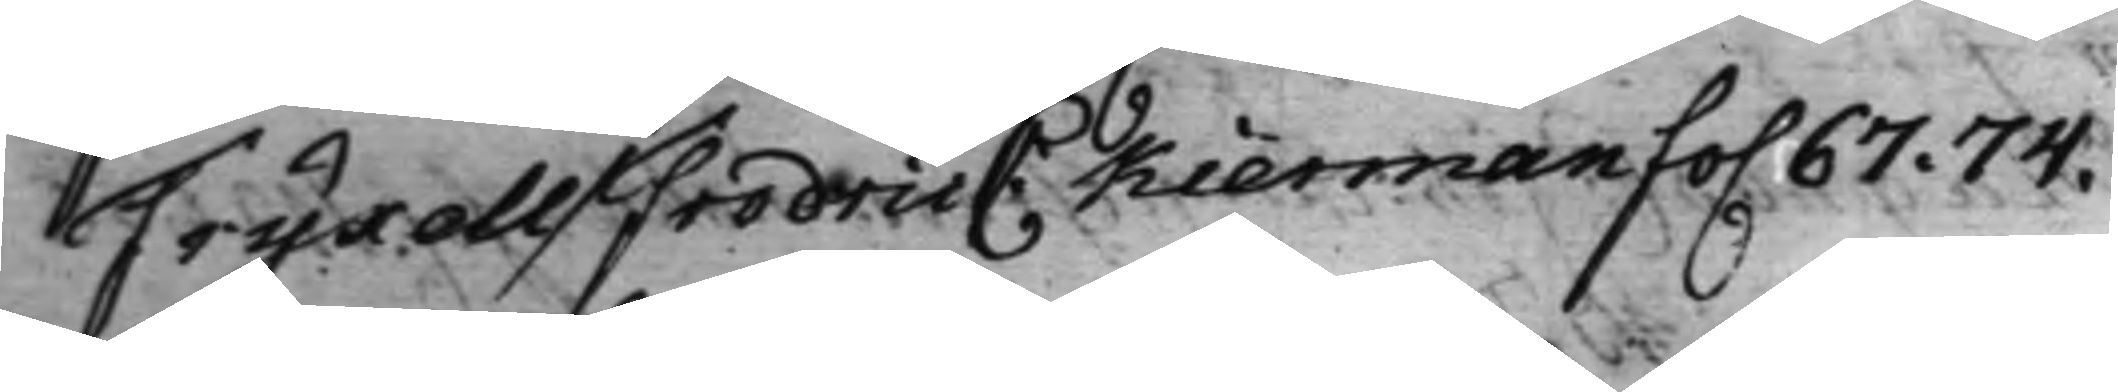Fryxell / Fredric C: Kierman fo. 67. 74.
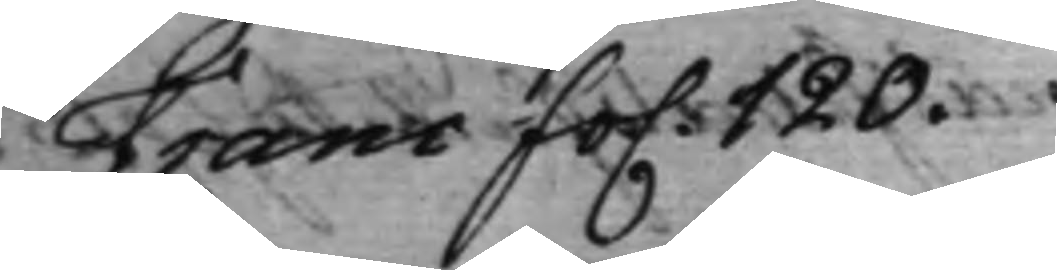Franc fo. 120.
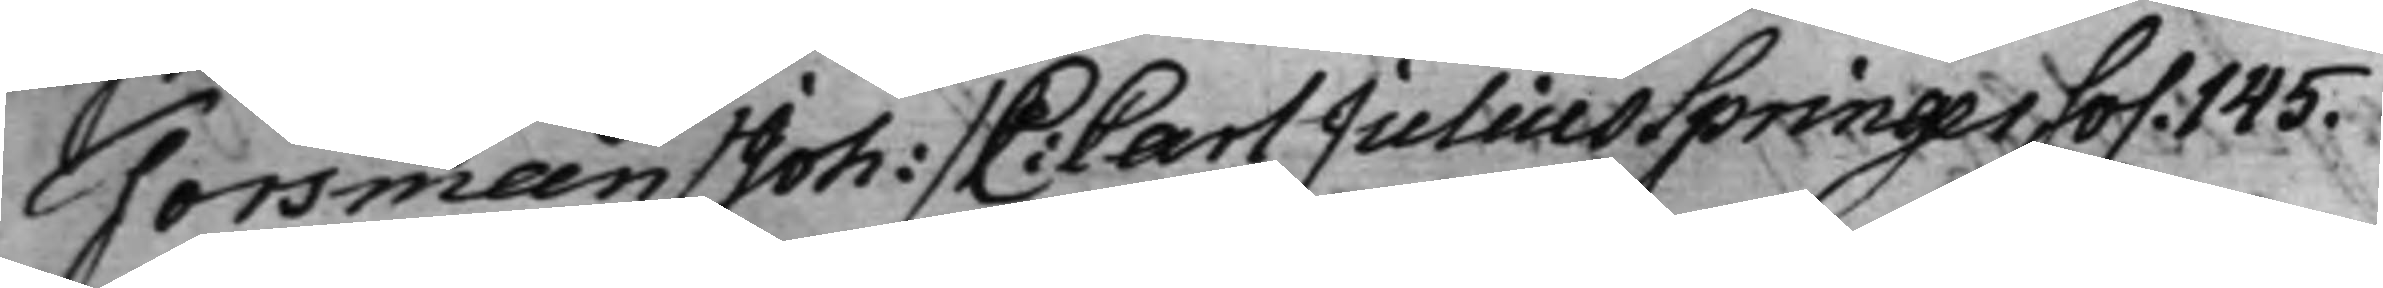Forsman / Joh: / C: Carl Julius Springer fo. 145.
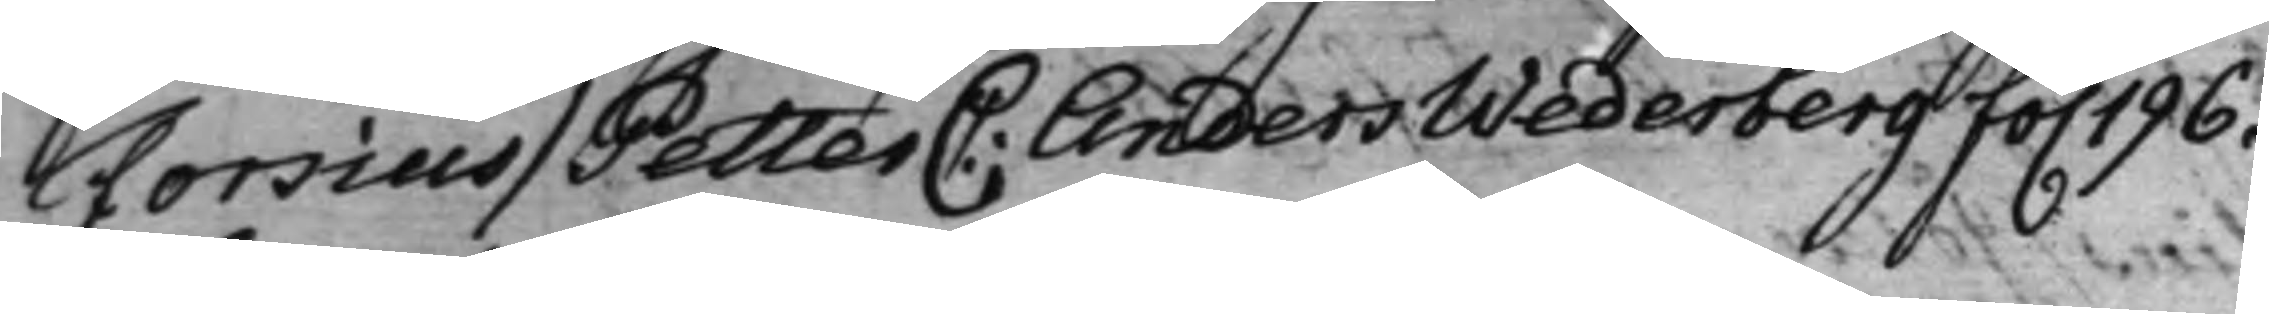Forsius / Petter C: Anders Wederberg fo. 196.
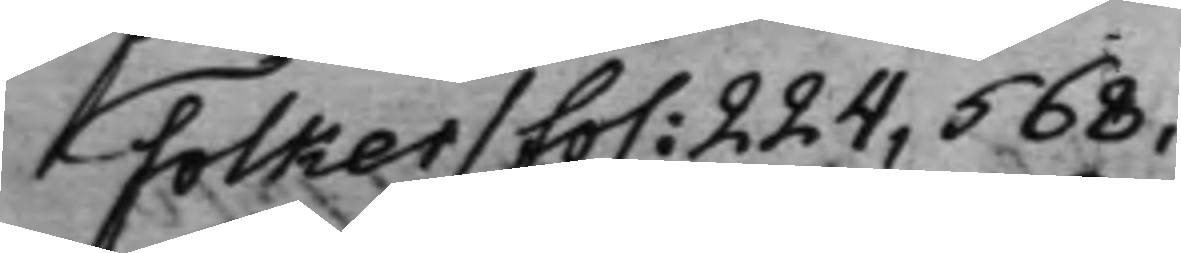Folker / fo. 224, 568,
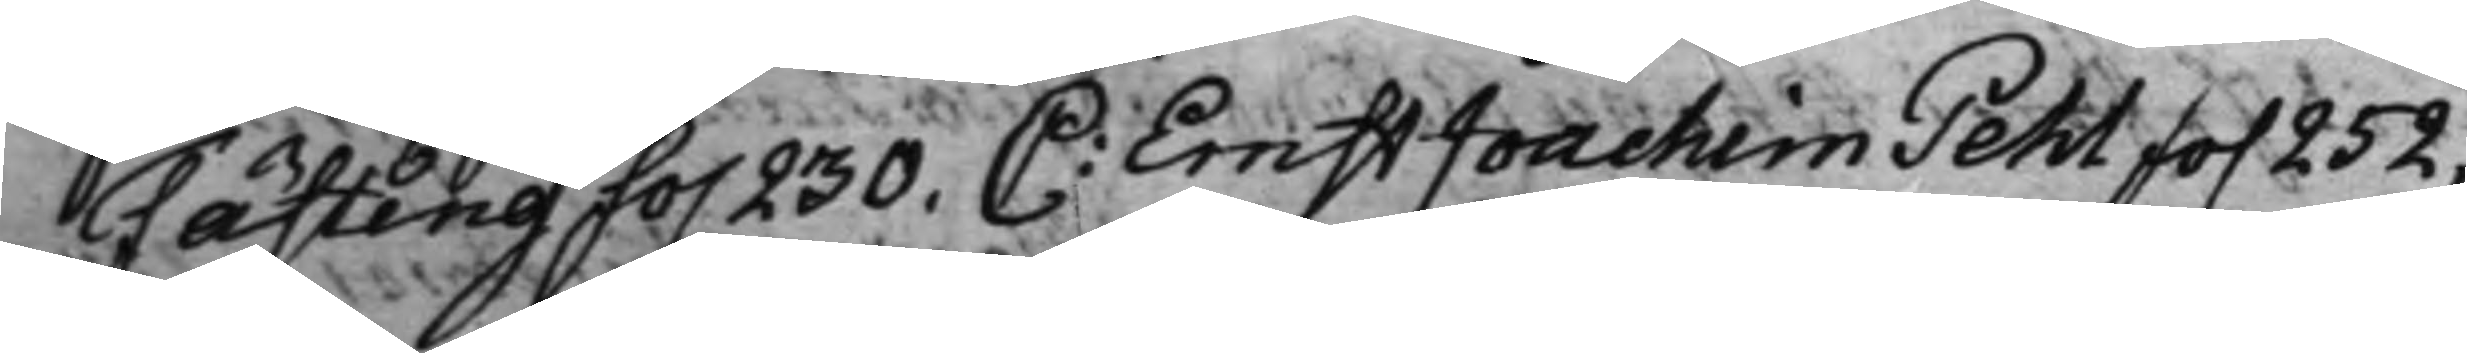Fästing fo. 230. C: Ernst Joachim Pehl fo. 252,
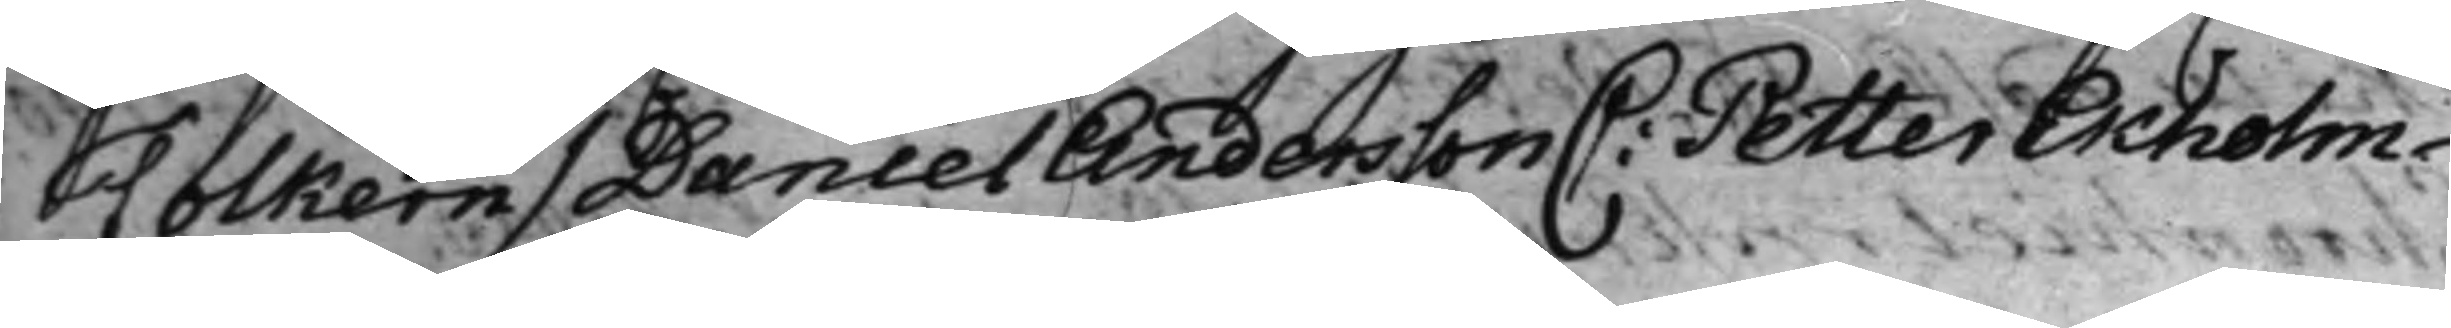Folkern / Daniel Andersson C: Petter Ekholm
